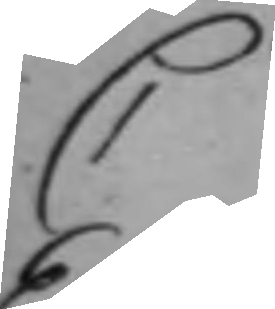C
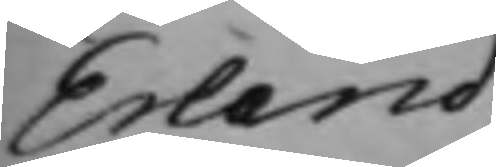Erland
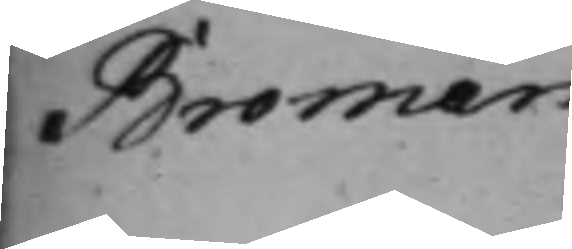Broman
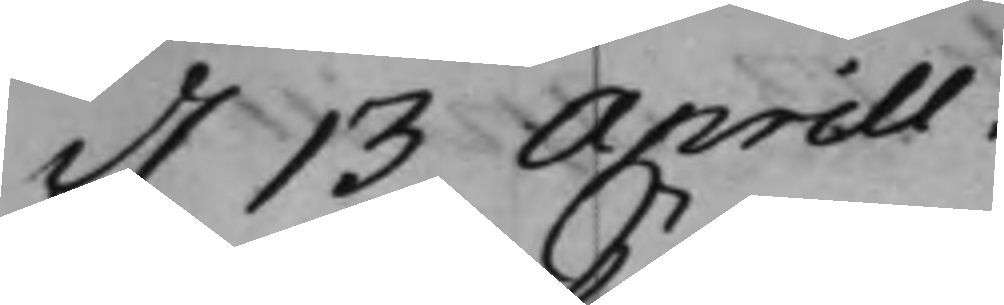d. 13 Aprill.
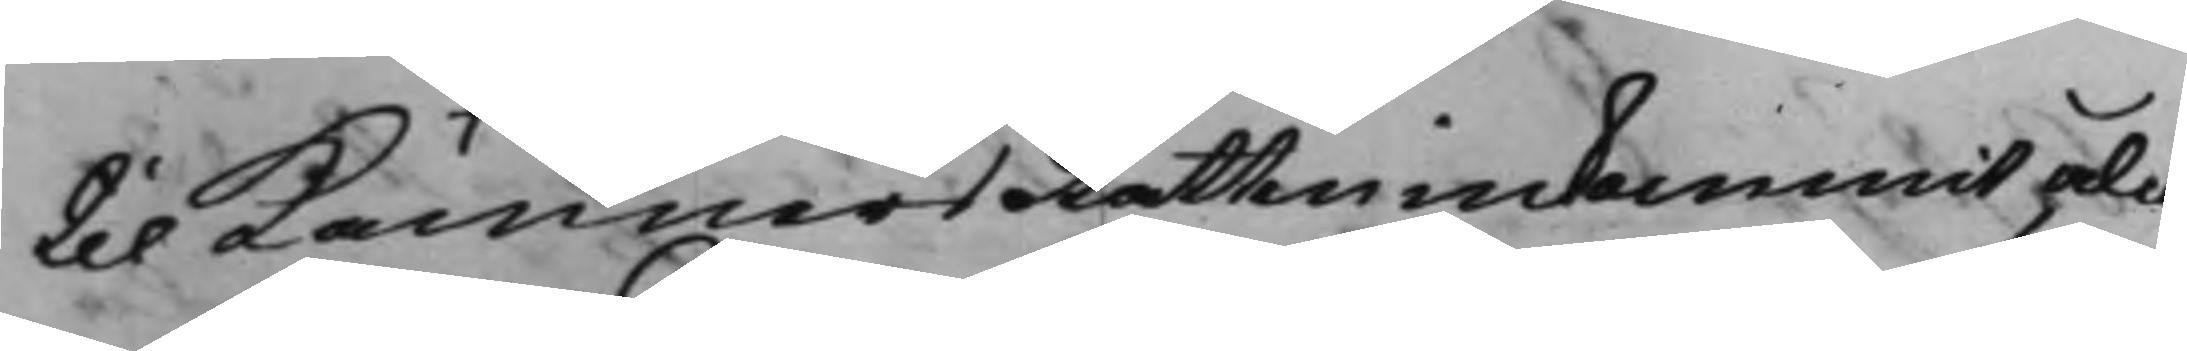til KämnersRätten inkommit, ålå¬
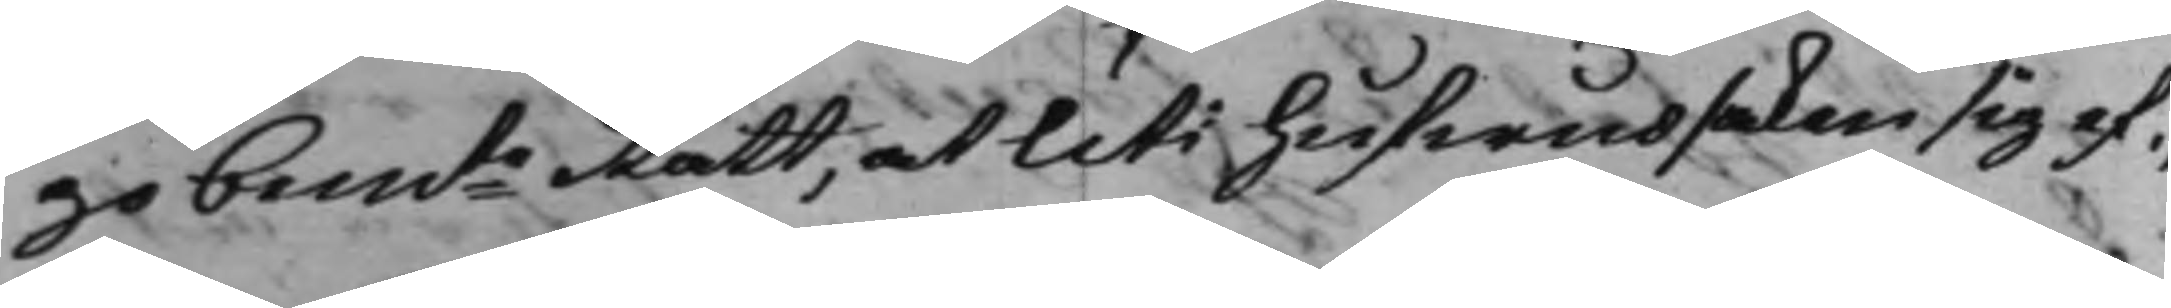go bemte Rätt, at uti hufwudsaken sig ef¬
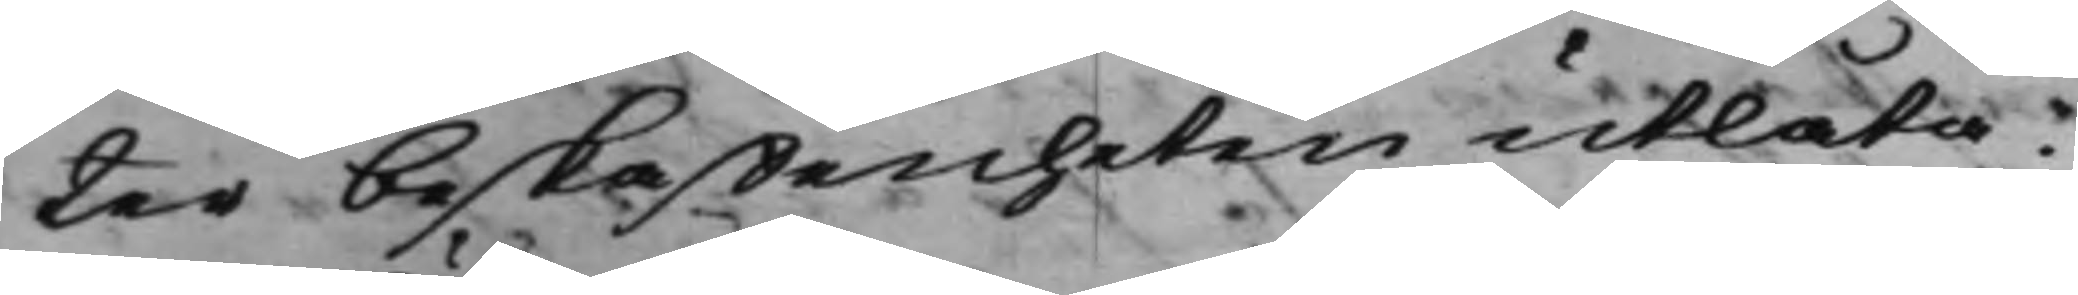ter beskaffenheten utlåta.
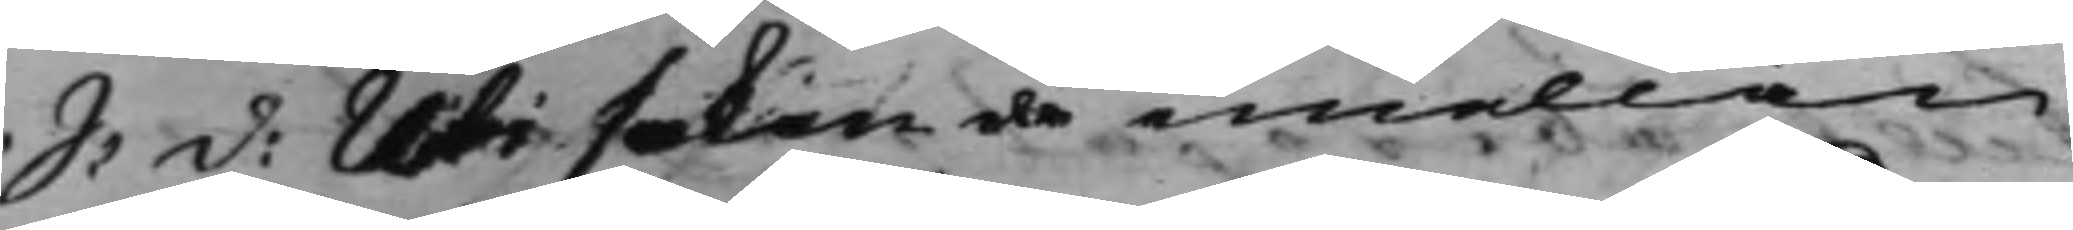S: d: Uti saken emellan
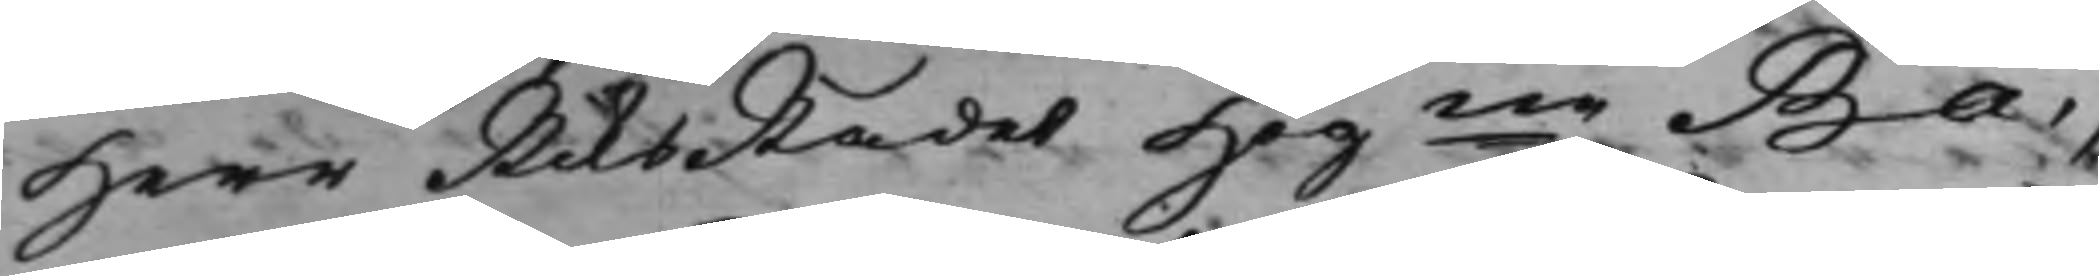Herr RiksRådet Högne Ba¬
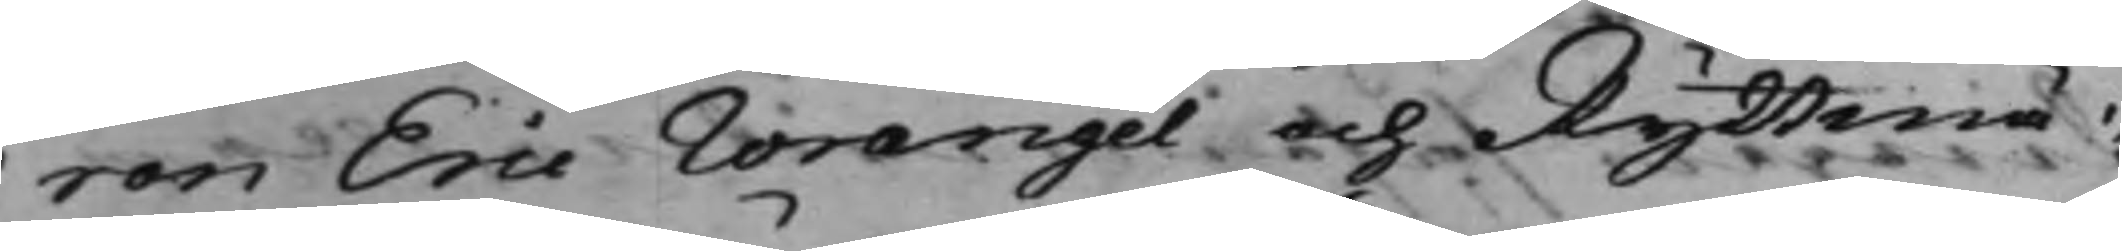ron Eric Wrangel och Ryttmä¬
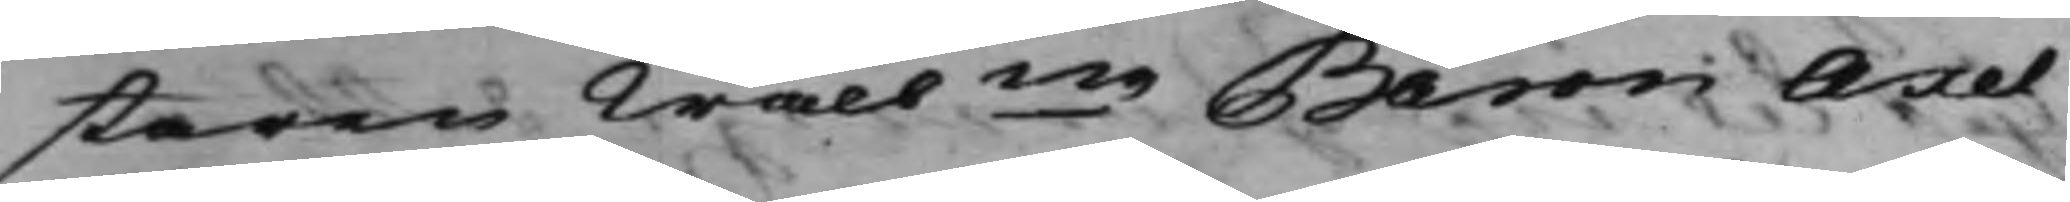staren Wälbne Baron Axel
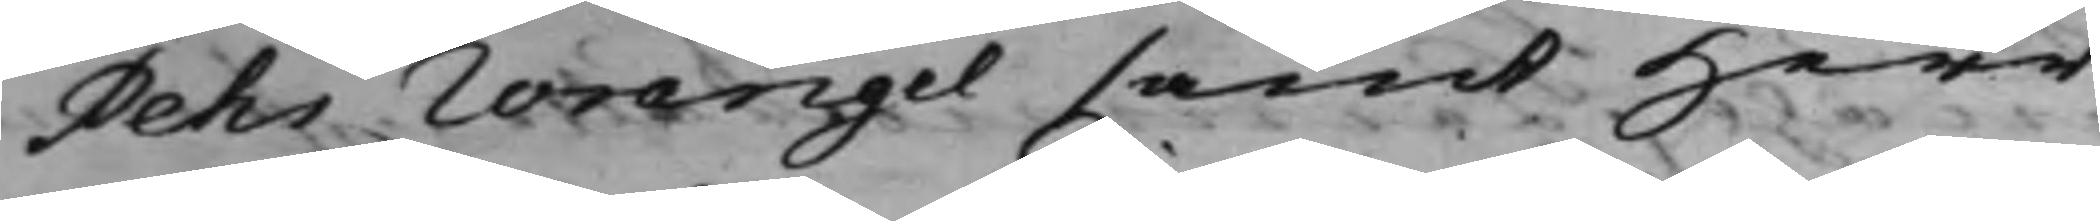Pehr Wrangel samt Herr
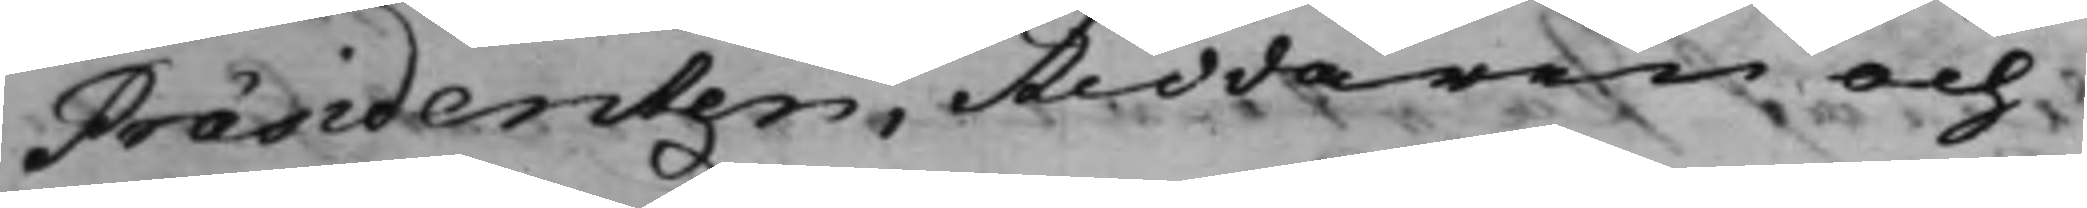Præsidenten, Riddaren och
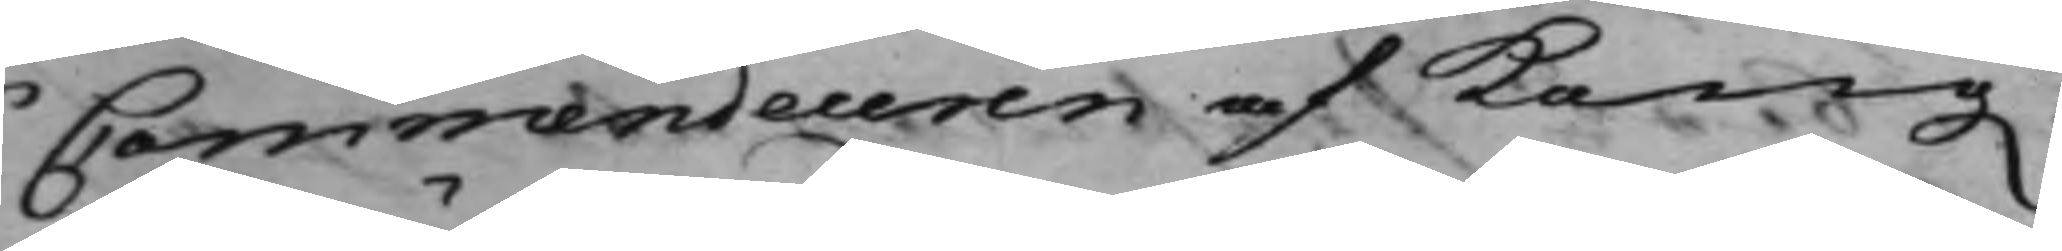Commendeuren af Kong.
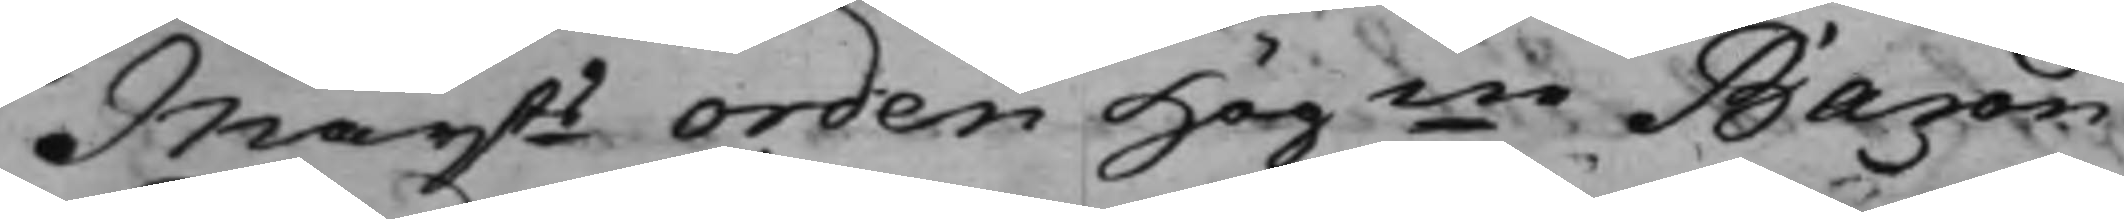Maijts Orden Högne Baron
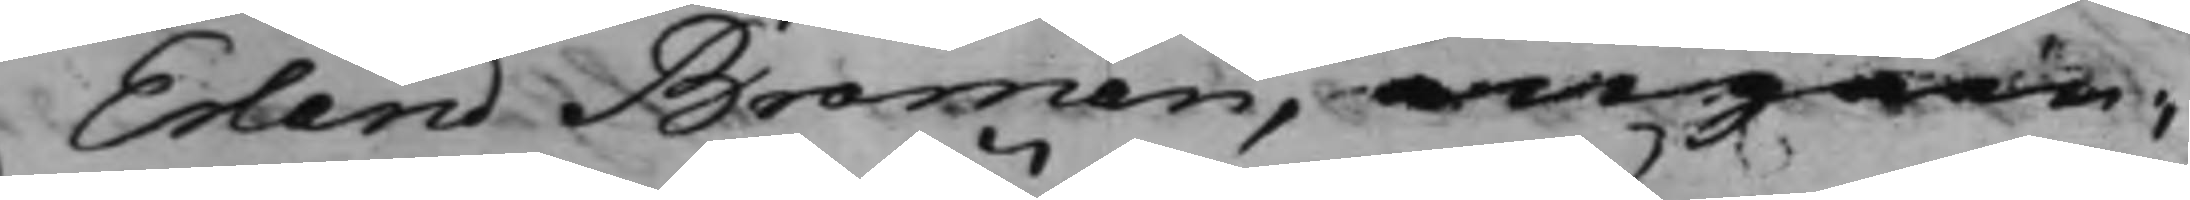Erland Broman, angåen¬
